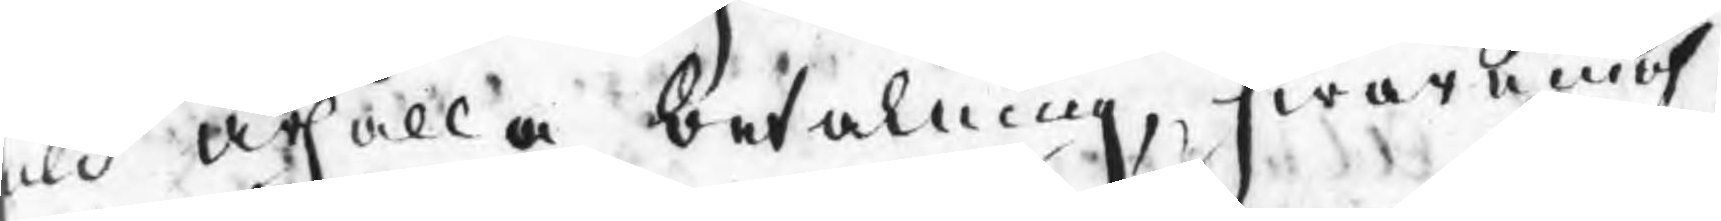uld ärhålla betalning, hwaremot
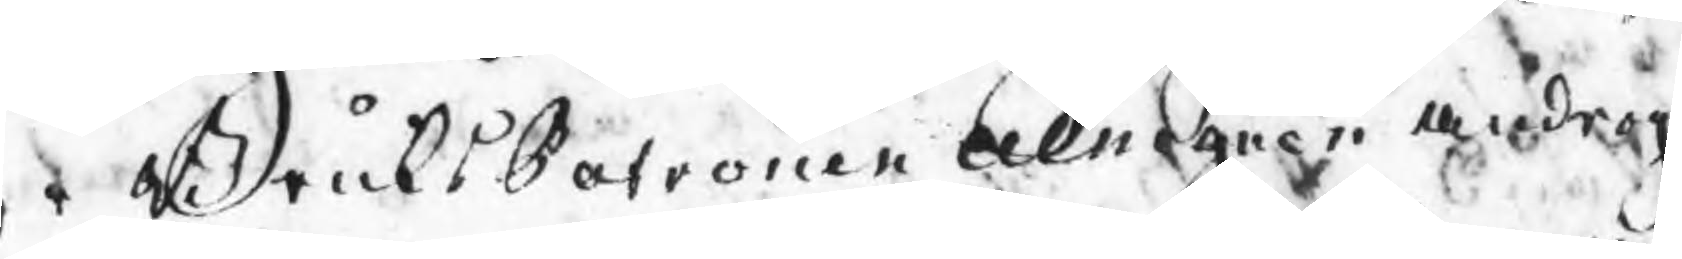rr BruksPatronen Almgren androg
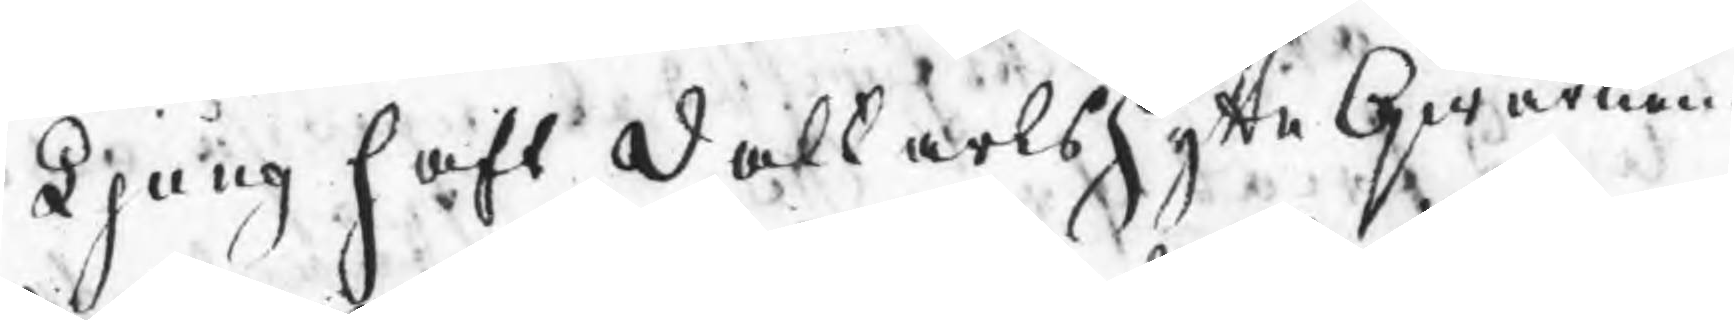t Ljung haft Dahlkarlshytte Qwarnen
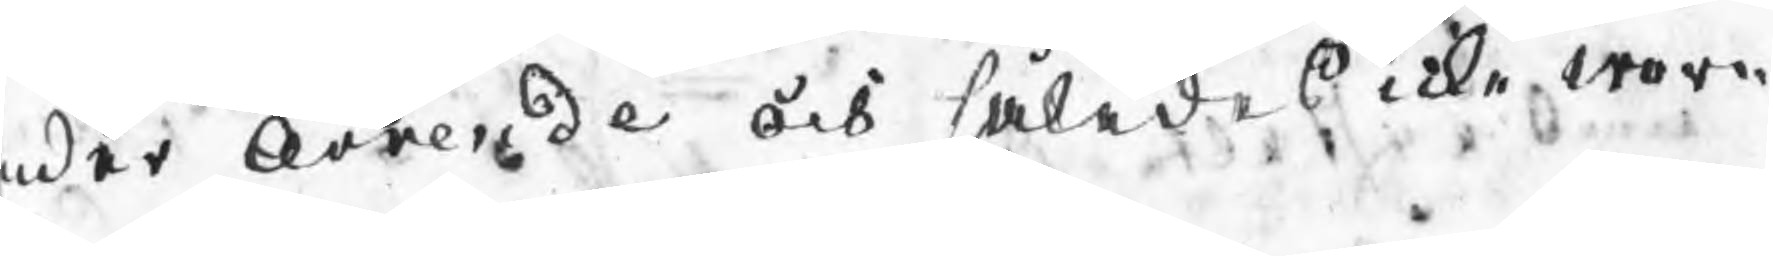nder Arrende och således icke wore
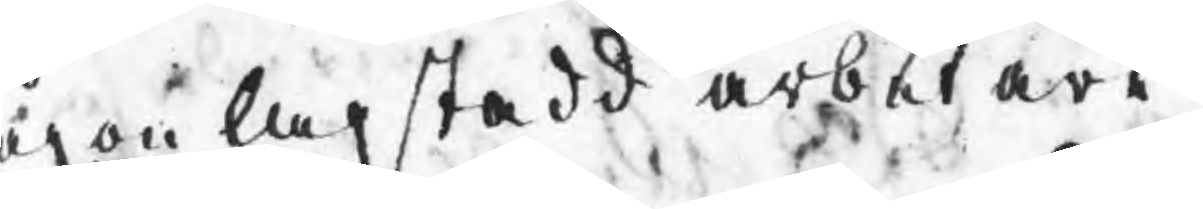ågon lagstadd arbetare.
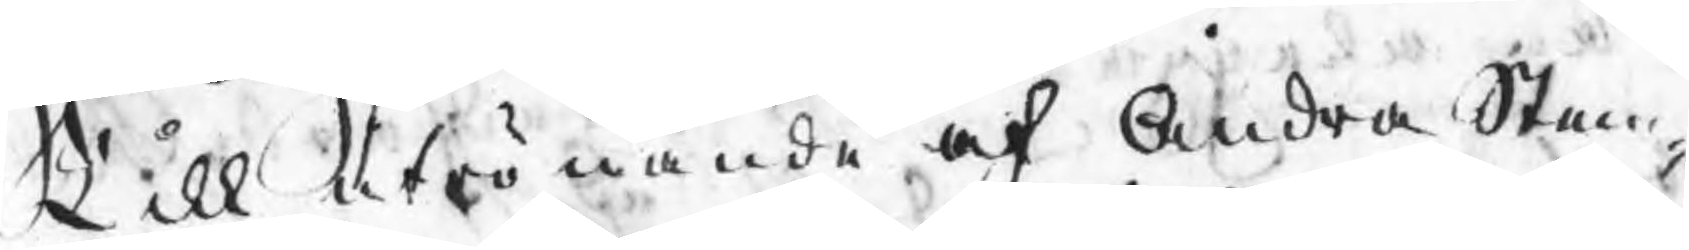Till utrönande af Andra Stem¬
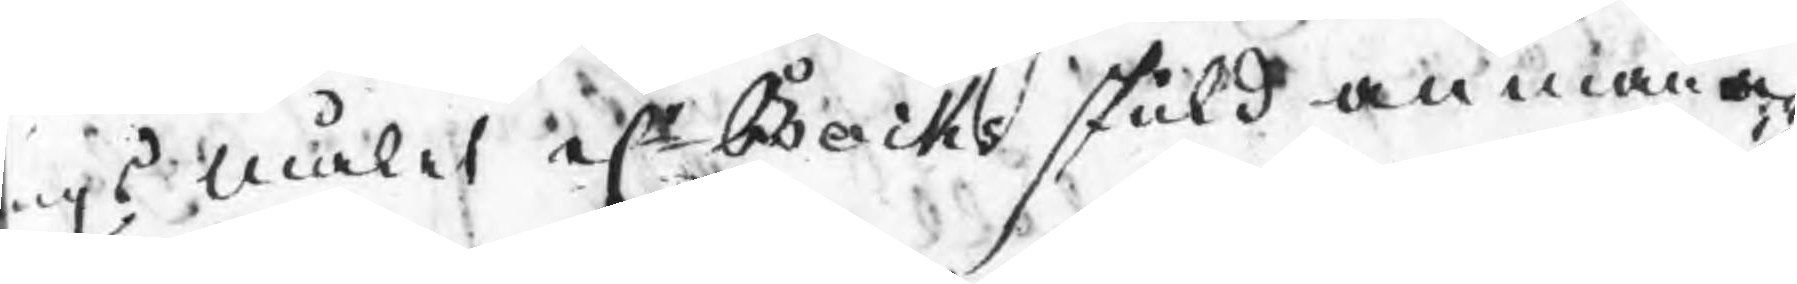ingsmålet el Bocks skuld anmana¬
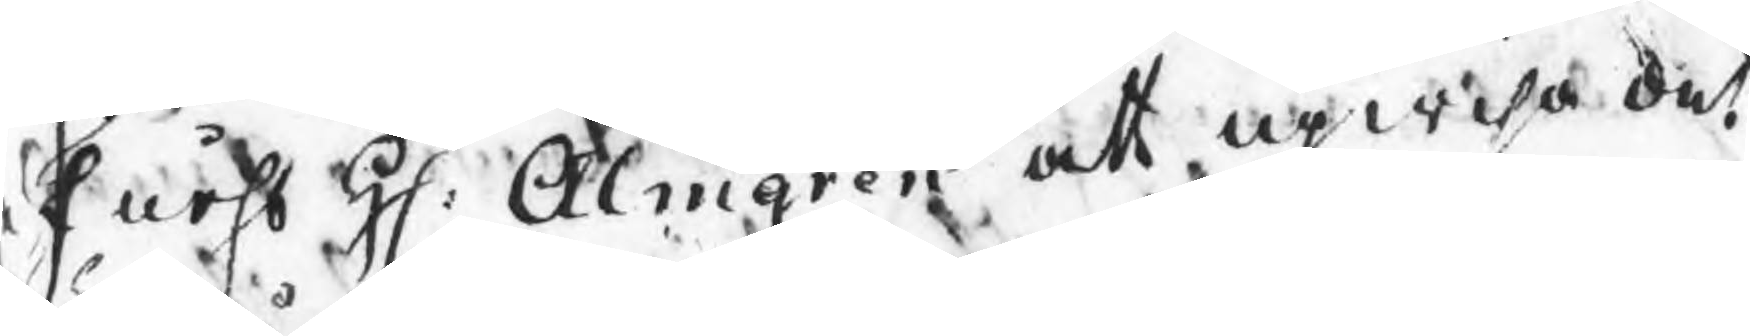e Fuhrs H: Almgren att upwisa det
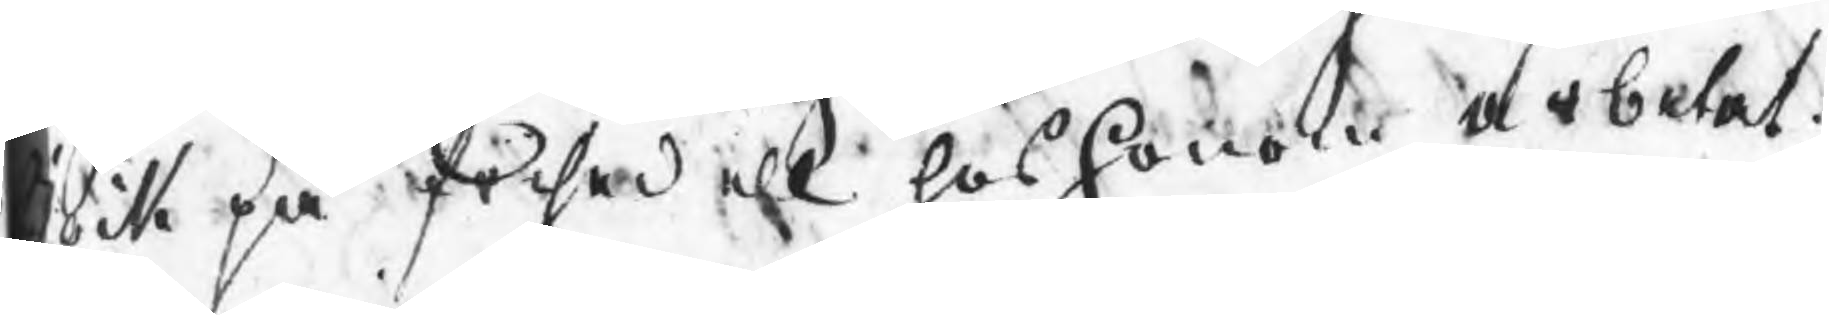ock på frisedell hos honom arbetat
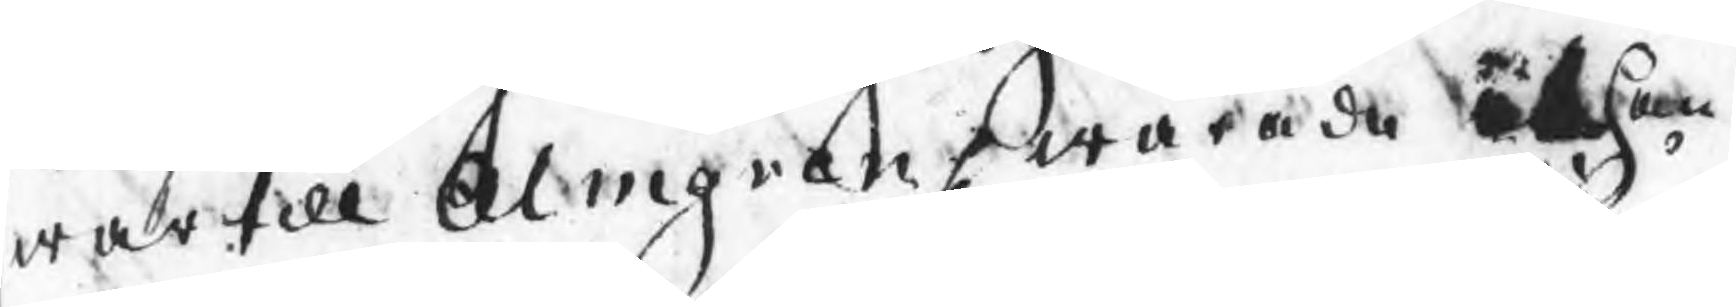wartill Almgren swarade at han 
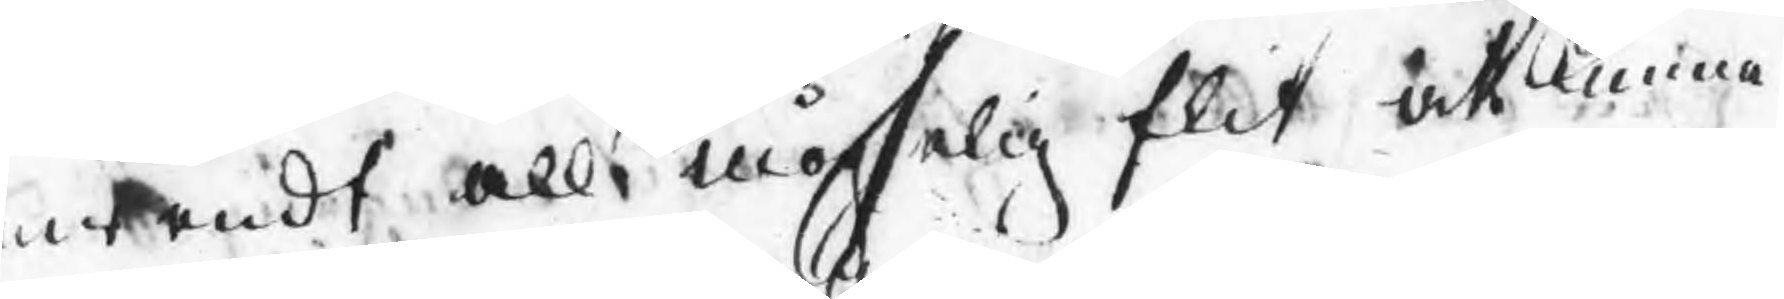nwendt all mögelig flit att kunna
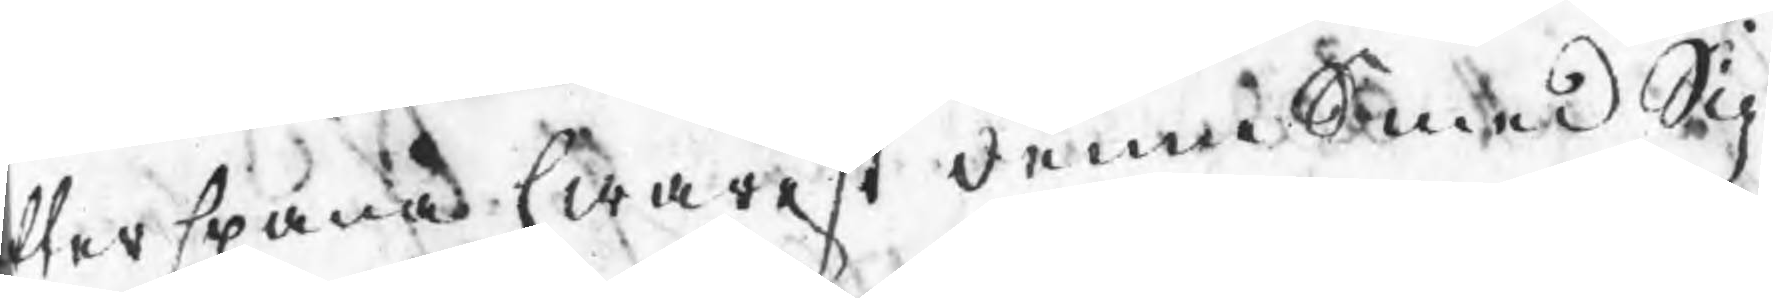terspana hwarest denne Smed Sig
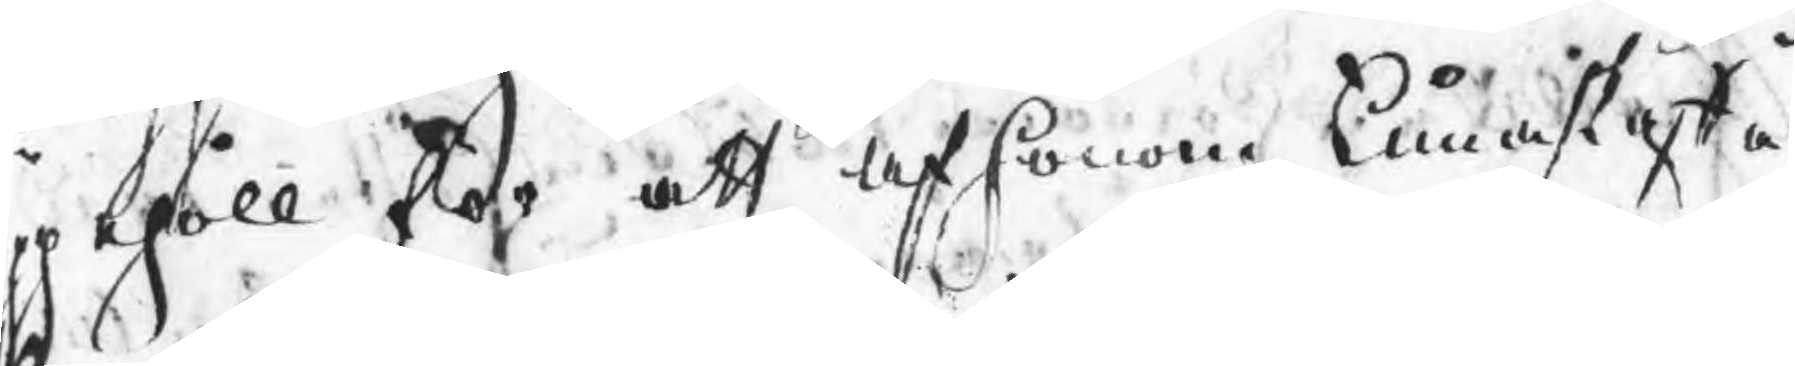ppehöll för att af honom kuna skaffa
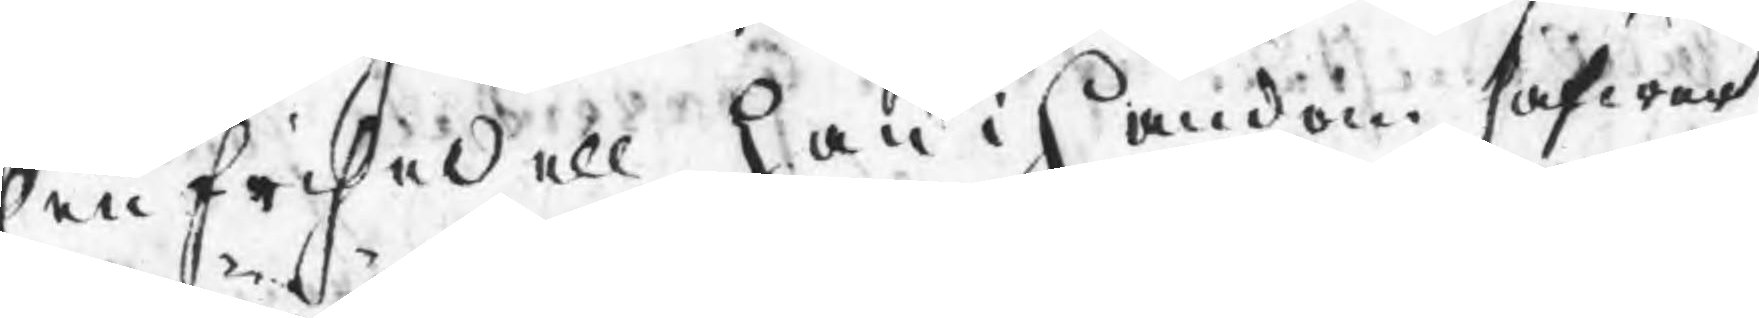hen frisedell han i handen hafwer
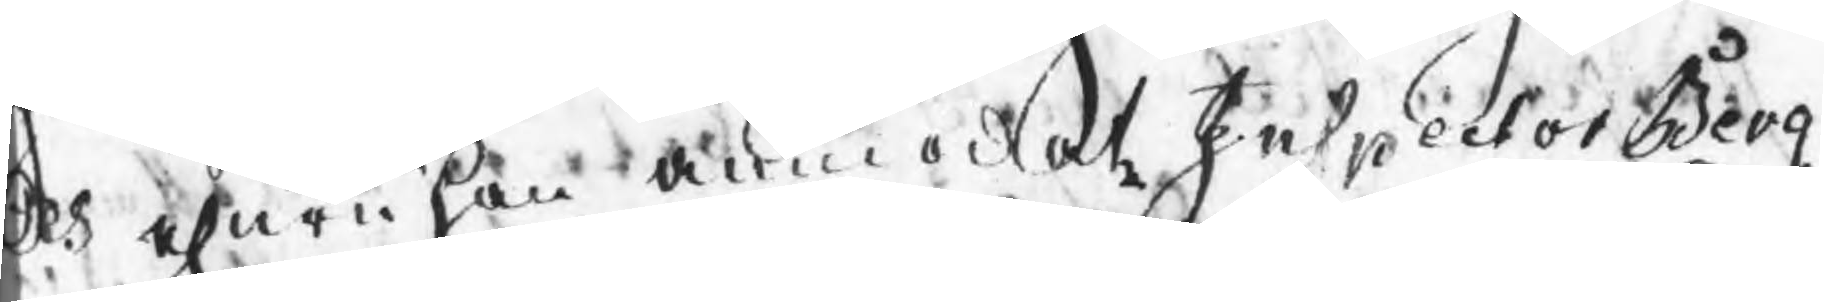ch ehuru han anmodat Inspector Berg¬
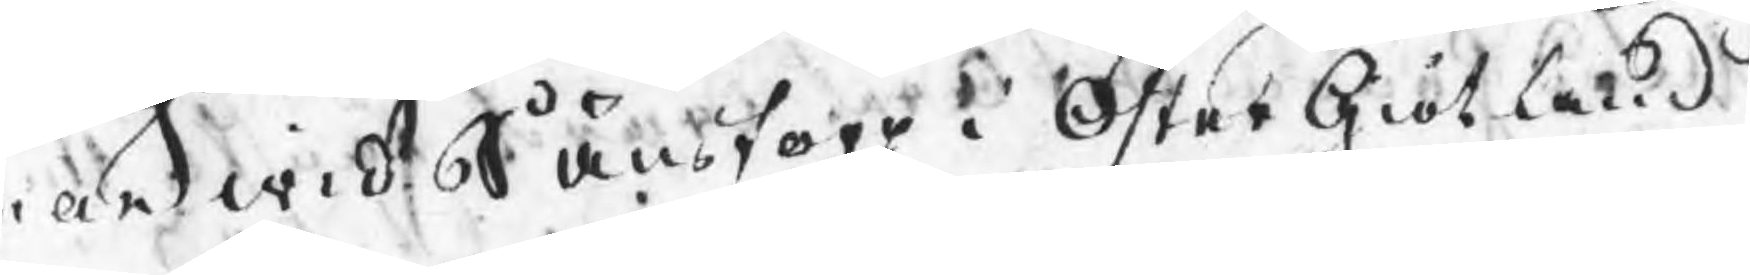man wid Sånstorp i ÖsterGiötland
